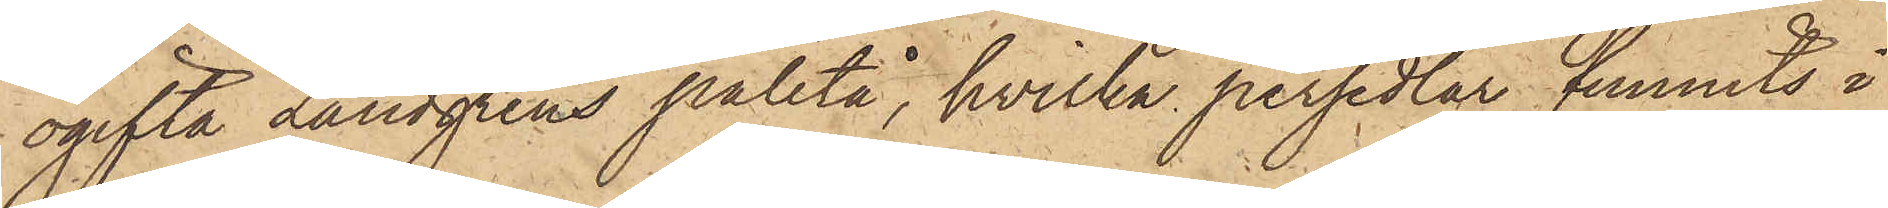ogifta Lundgrens paletå, hvilka persedlar funnits i
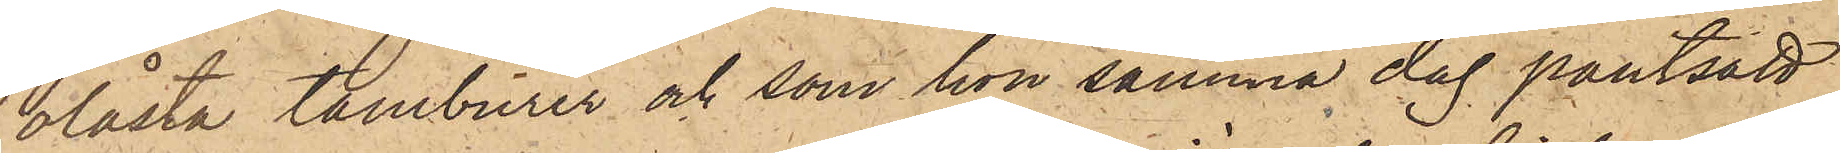olåsta tamburer och som hon samma dag pantsatt
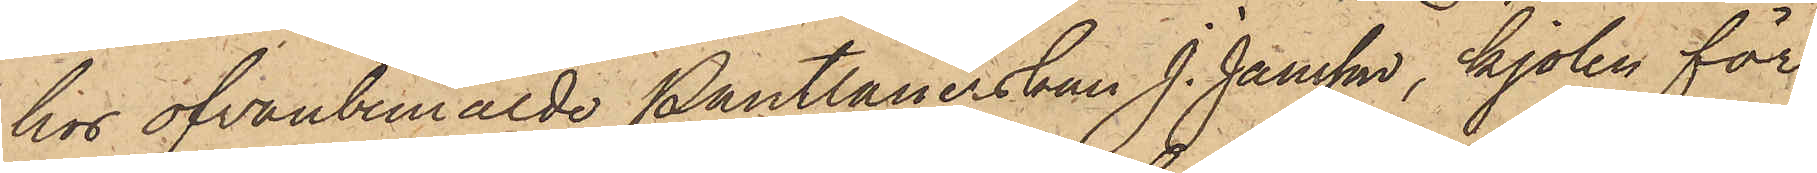hos ofvanbemälde Pantlånerskan J. Jansson, kjolen för
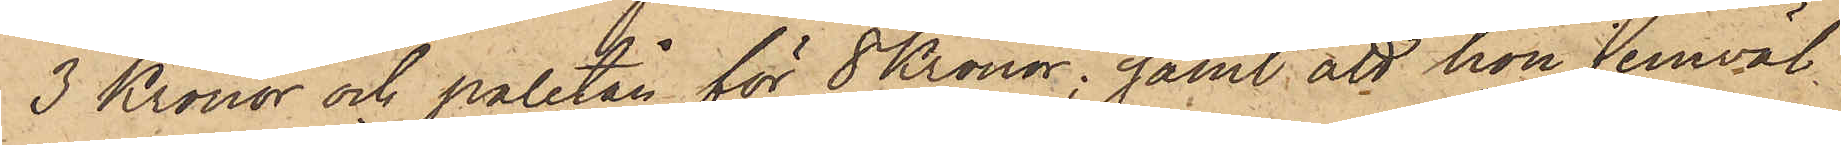3 Kronor och paletån för 8 Kronor; samt att hon jemväl
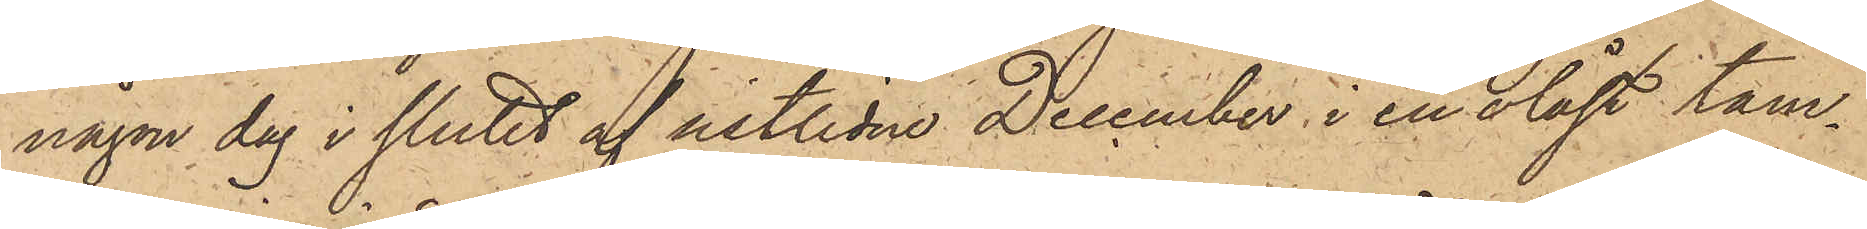någon dag i slutet af sistlidne December i en olåst tam¬
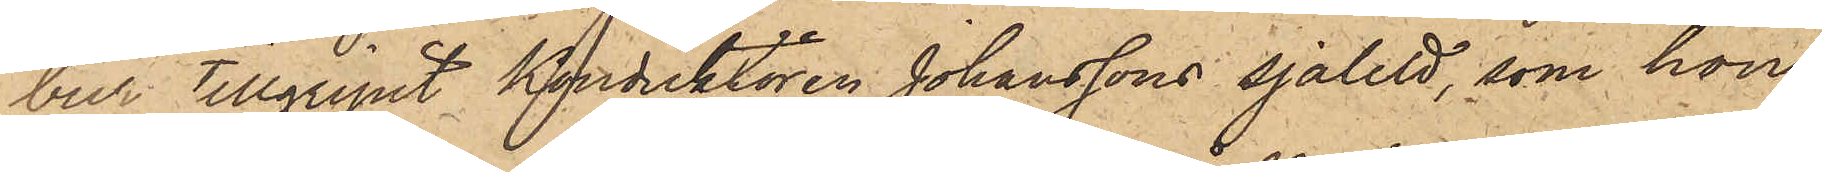bur tillgripit konduktören Johanssons sjalett, som hon
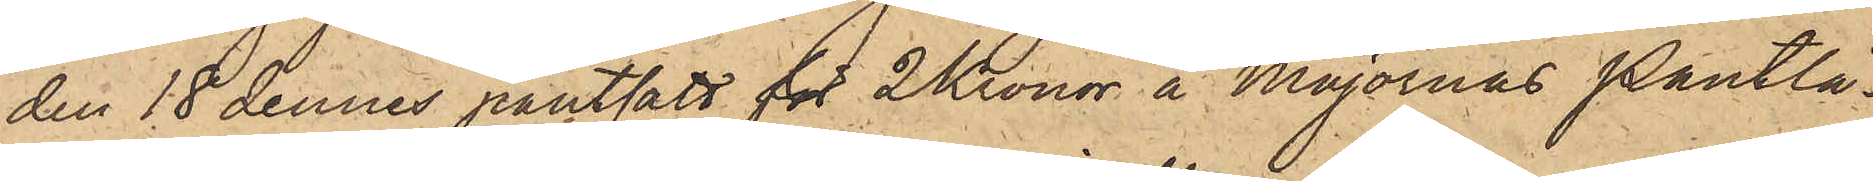den 18 dennes pantsatt för 2 Kronor å Majornas Pantlå¬
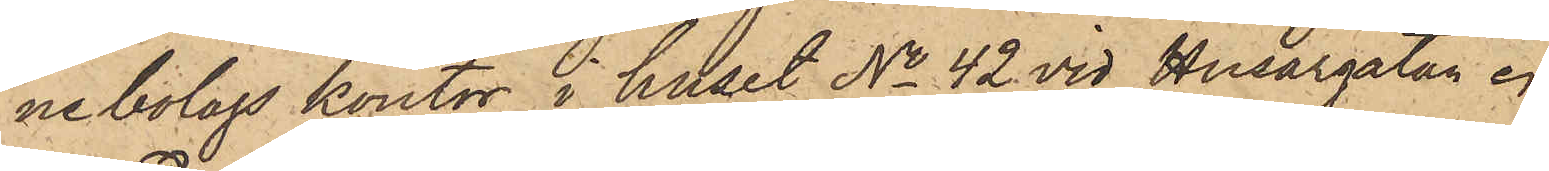nebolags kontor i huset No 42 vid Husargatan.
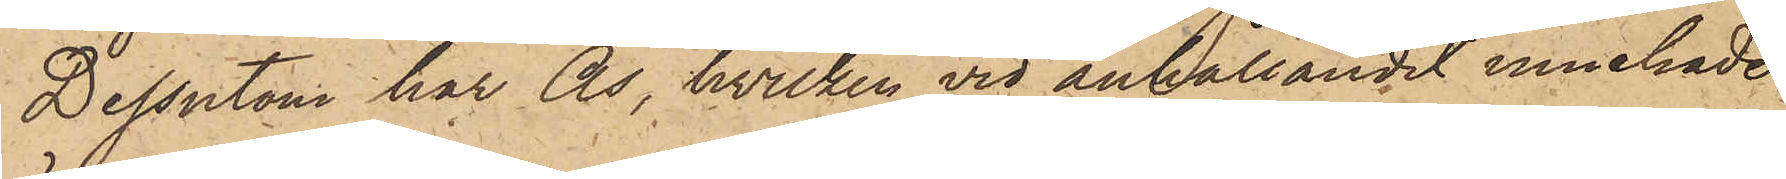Dessutom har Ås, hvilken vid anhållandet innehade
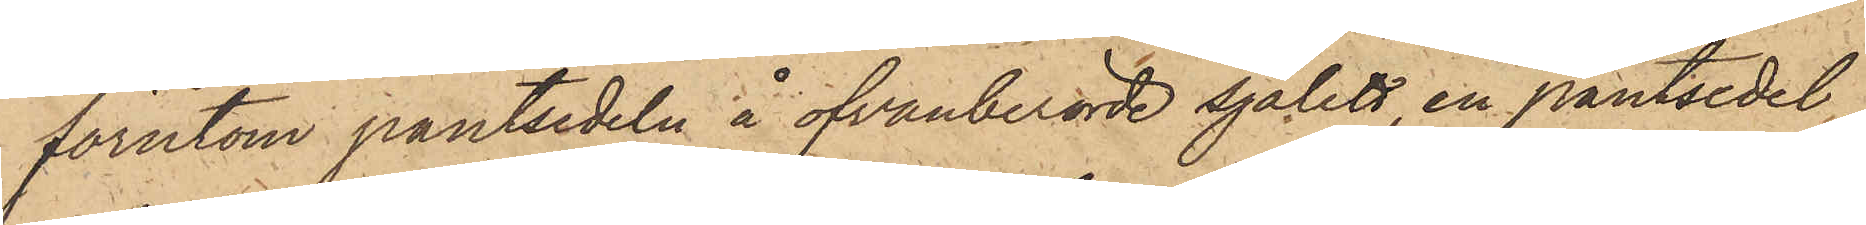förutom pantsedeln å ofvanberörde sjalett, en pantsedel
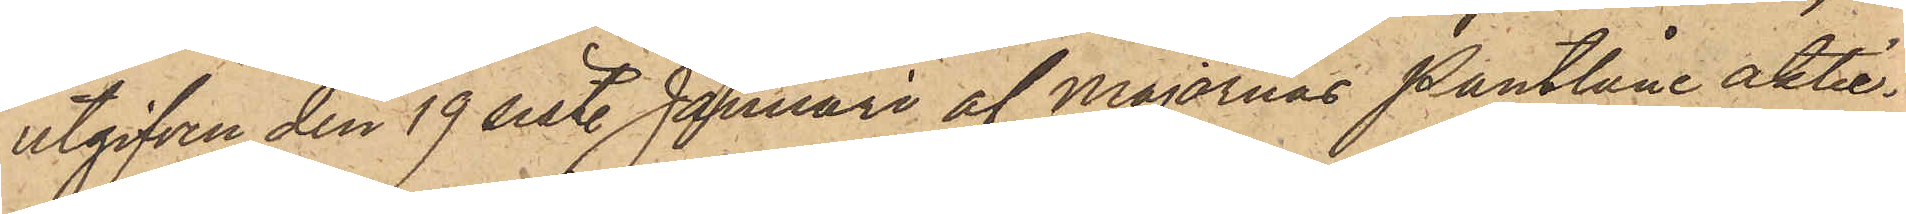utgifven den 19 sist. Januari af Majornas Pantlåneaktie¬
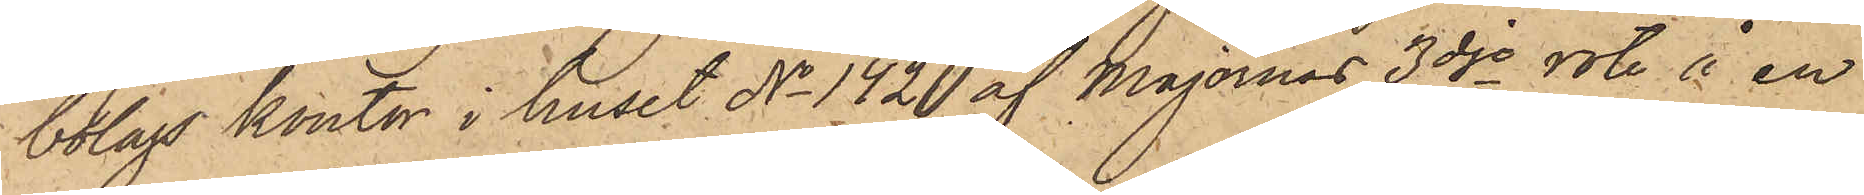bolags kontor i huset No 142 af Majornas 3dje rote å en
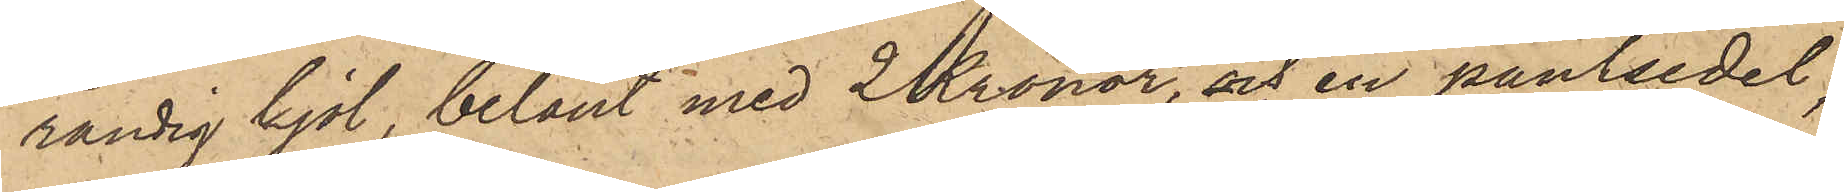randig kjol, belånt med 2 Kronor, och en pantsedel,
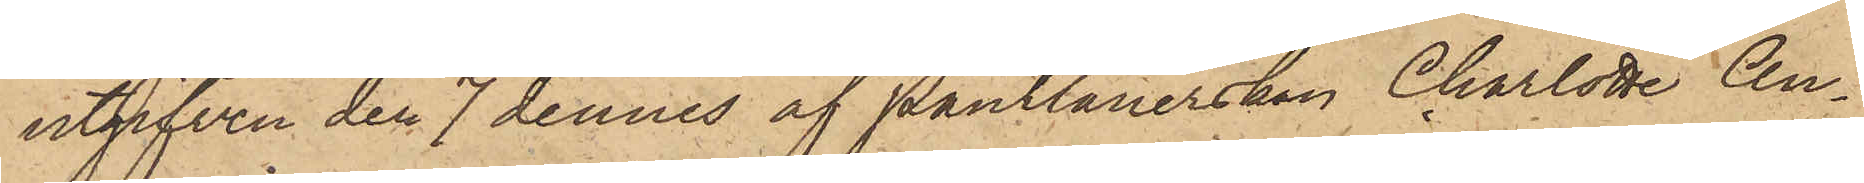utgifven den 7 dennes af Pantlånerskan Charlotta An¬
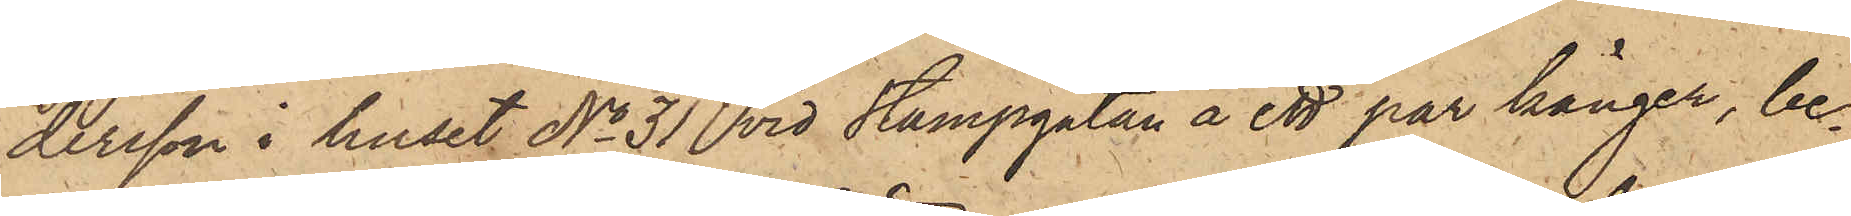dersson i huset No 31 vid Stampgatan å ett par känger, be¬
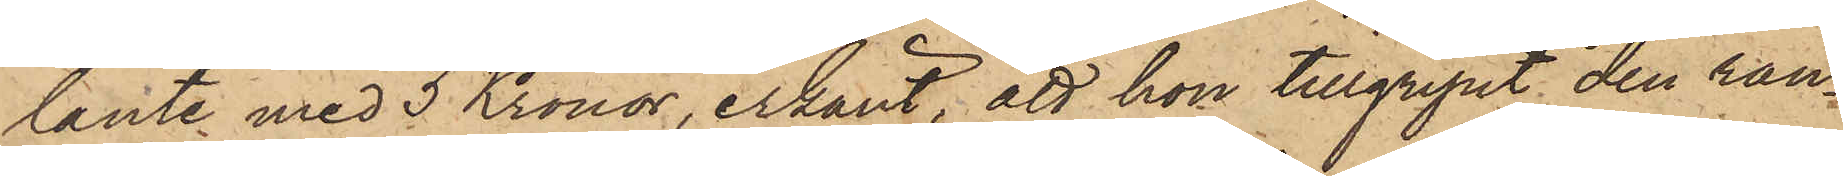lånte med 3 Kronor, erkänt, att hon tillgripit den ran¬
